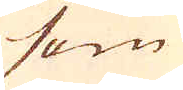som
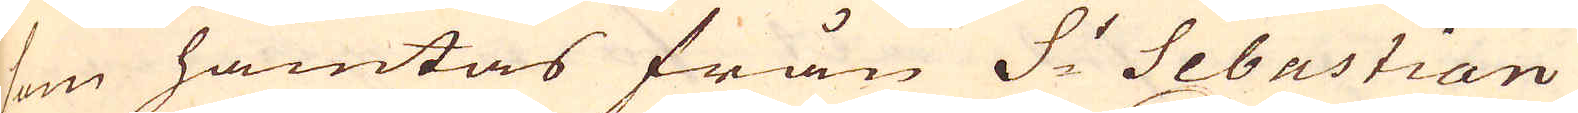som hämtas från S:t Sebastian
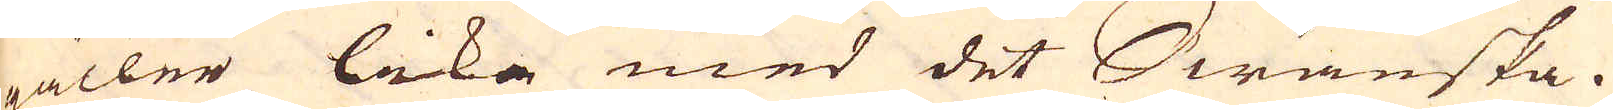gäller lika med det Swänska.
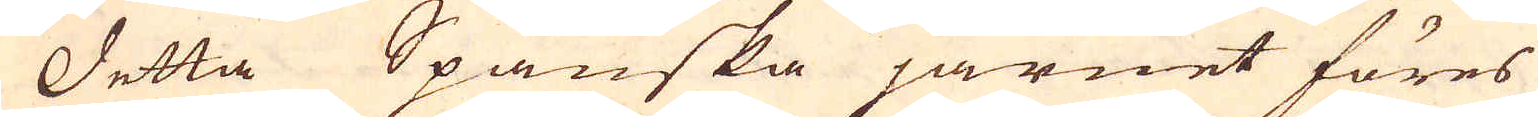Detta Spanska järnet föres
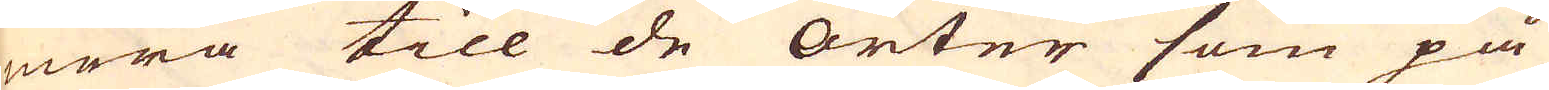mera till de Orter som på
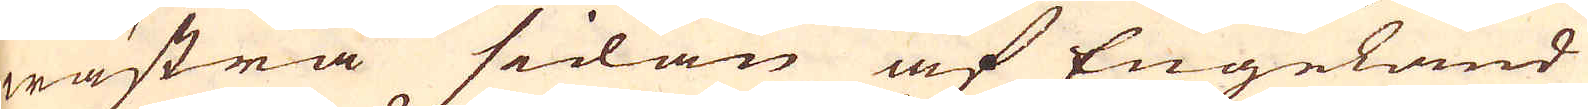wästra sidan af Engeland
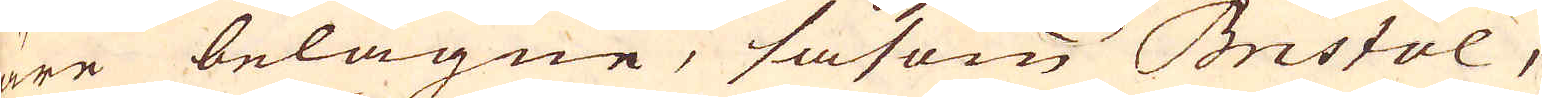äre belägne, såsom Bristol,
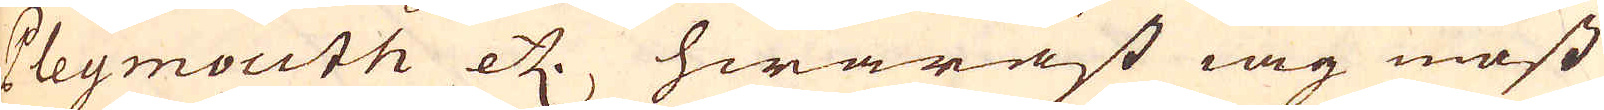Pleymouth etc. hwaräst iag mäst
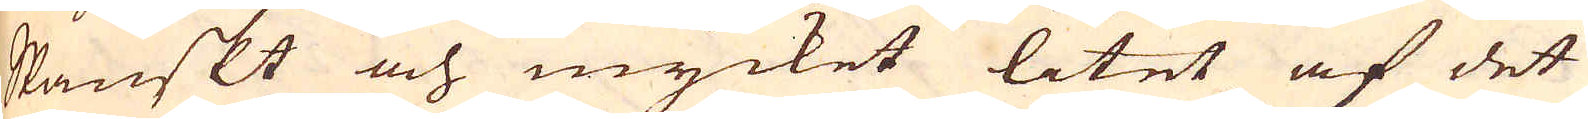Spanskt och mycket litet af det
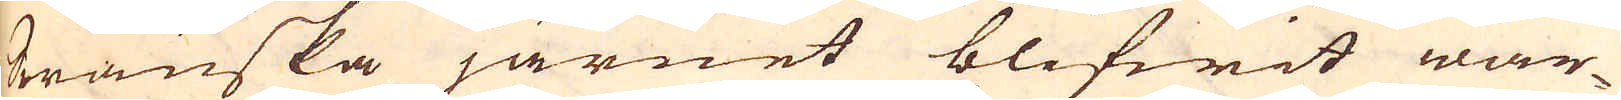Swänska järnet blifwit war-
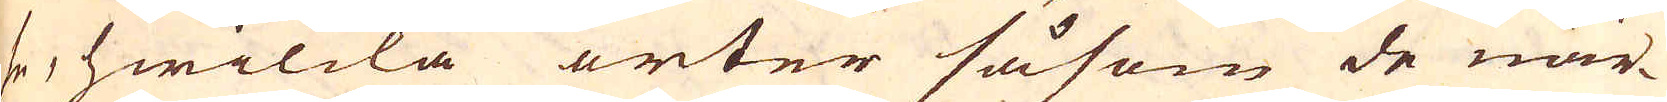se, hwilcka orter såsom de när-
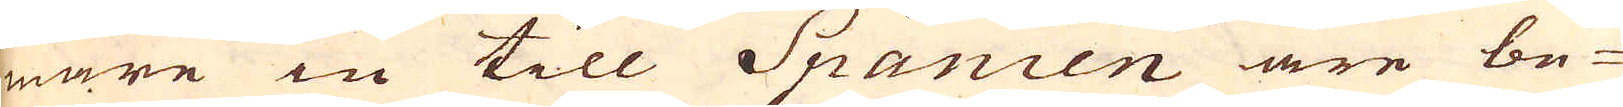mare in till Spanien äre be-
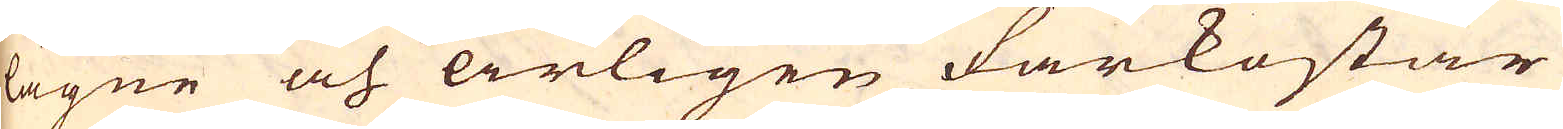lägne och årligen farkostar
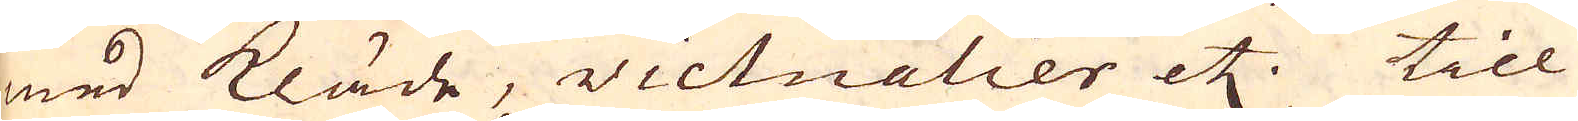med kläde, victualier etc. till
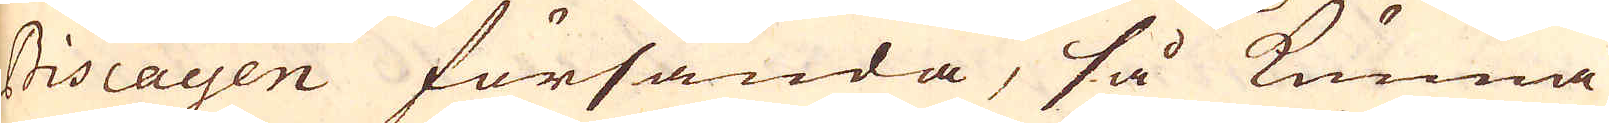Biscayen försända, så kunna
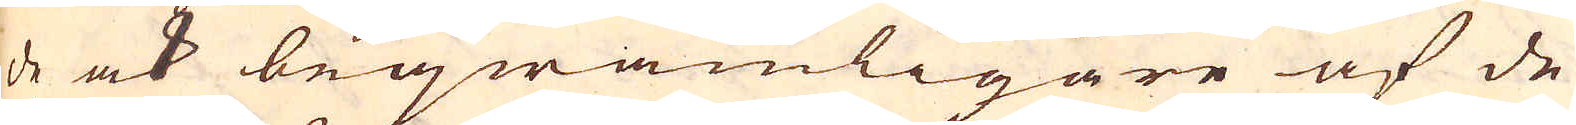de ock beqwämligare af de-
